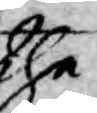the
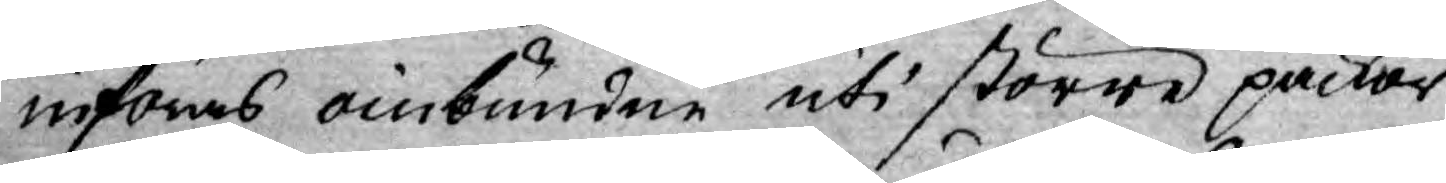införas oinbundne uti större packor
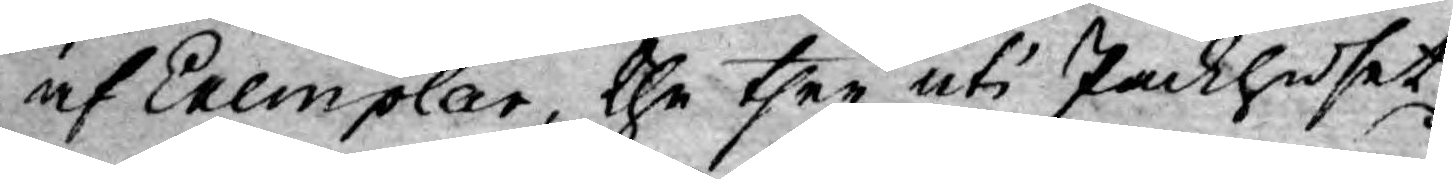af Exemplar, the ther uti Packhuset
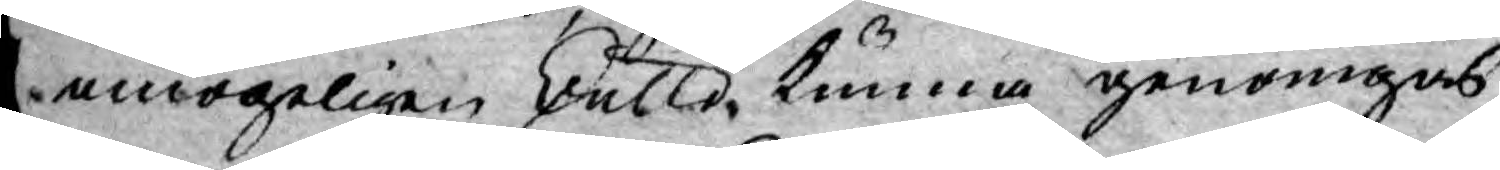omögeligen skulle, kunna genomgås,
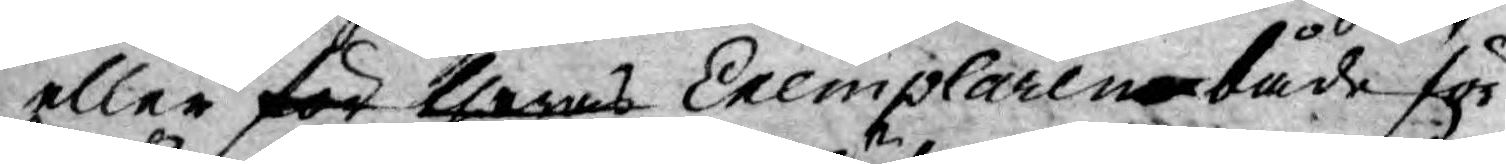eller för theras Exemplaren både för
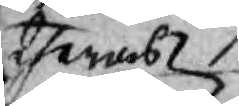theras
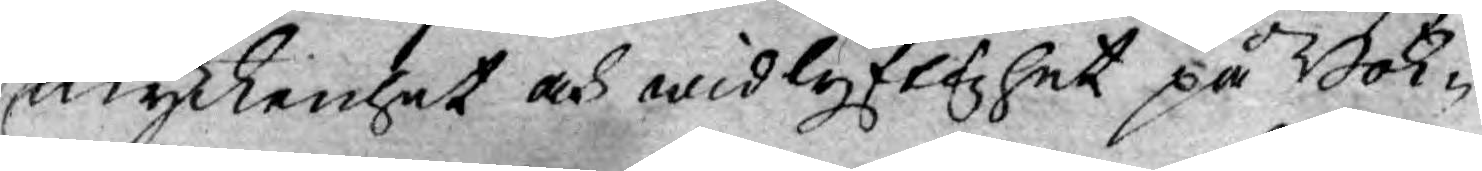myckenhet och widlyflighet på Bok-
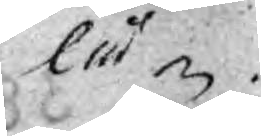lå¬
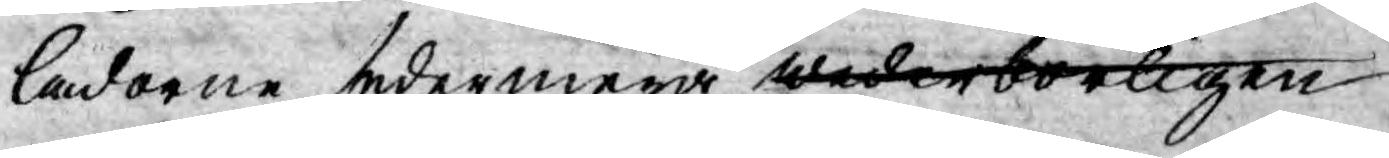lådorne sedermera wederbörligen
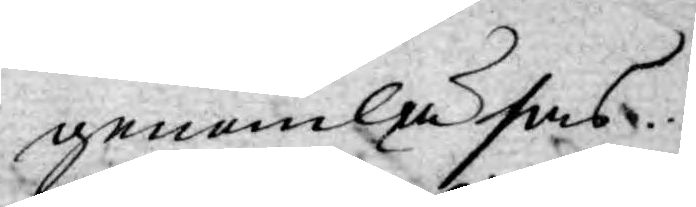genomläsas.
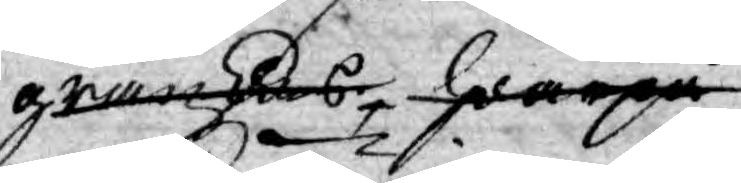granskas hwarpå
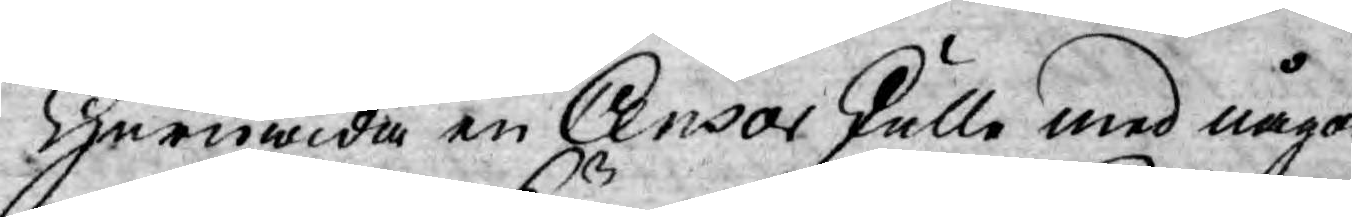Huruwida en Censor skulle med någon
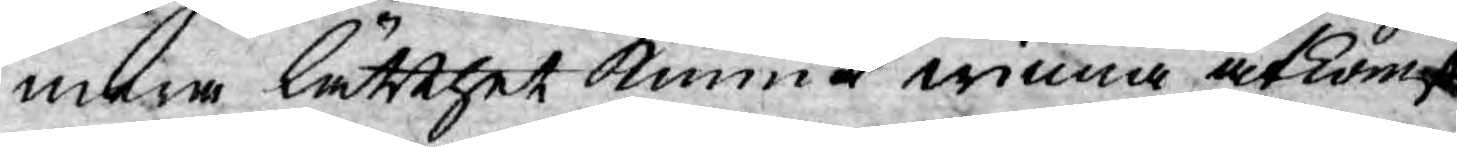mera lätthet kunna winna åtkomst
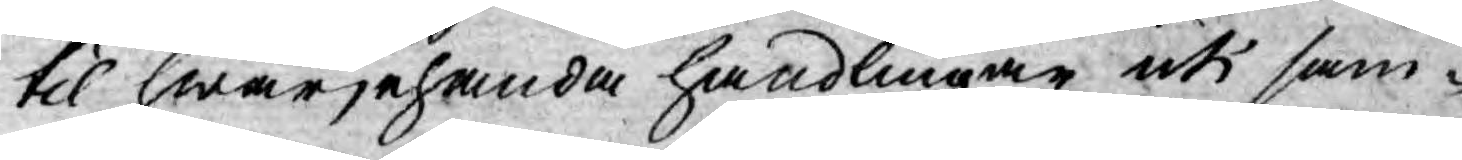til hwarjehanda handlingar uti sam¬
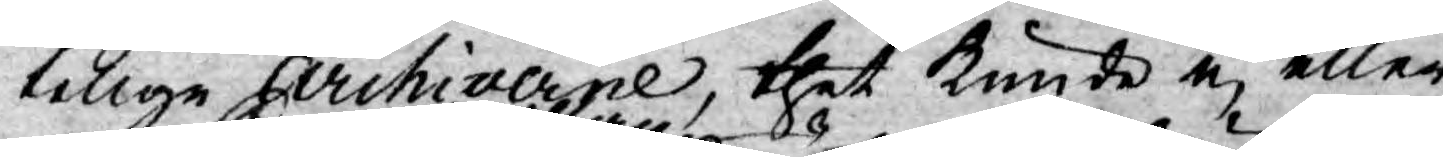telige Archiverne, thet kunde ej eller
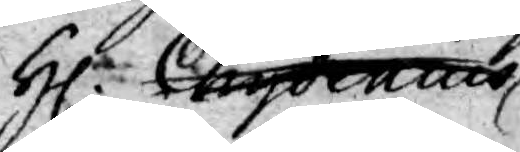Hr Chydenius
